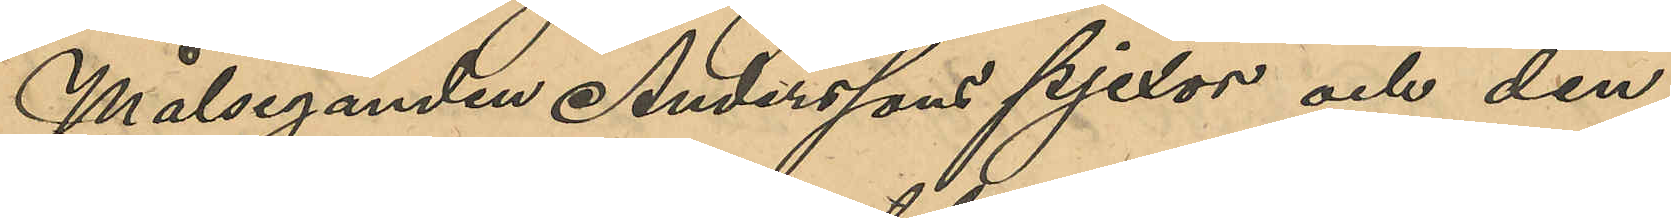Målseganden Anderssons pjexor och den
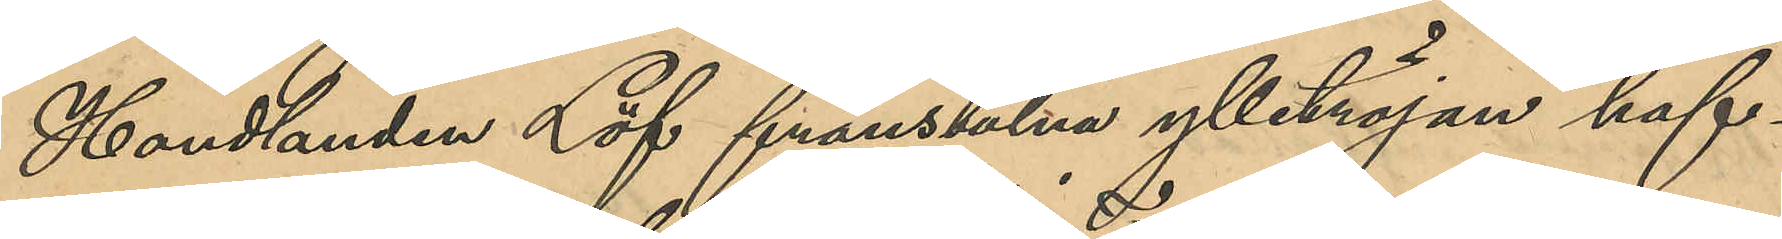Handlanden Löf frånstulna ylletröjan haf¬
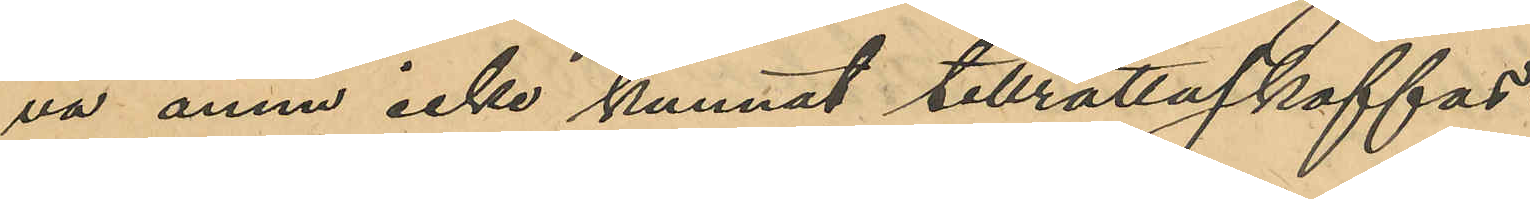va ännu icke kunnat tillrättaskaffas.
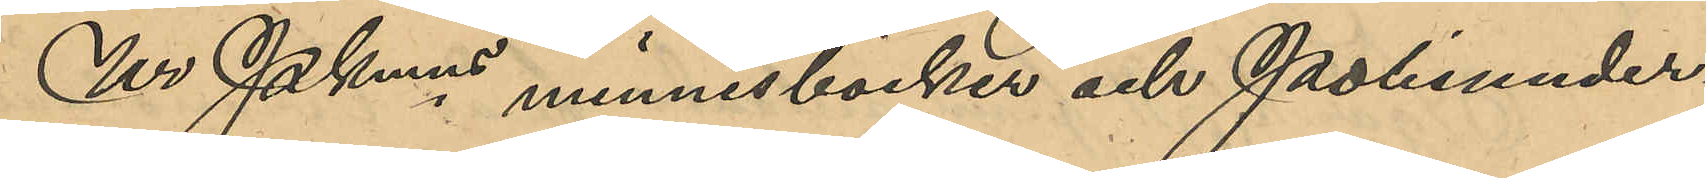Ur Pkmns minnesböcker och Polisunder¬
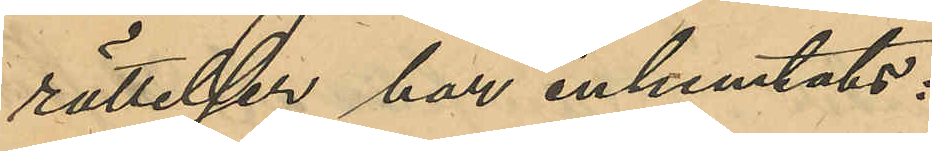rättelser har inhemtats:
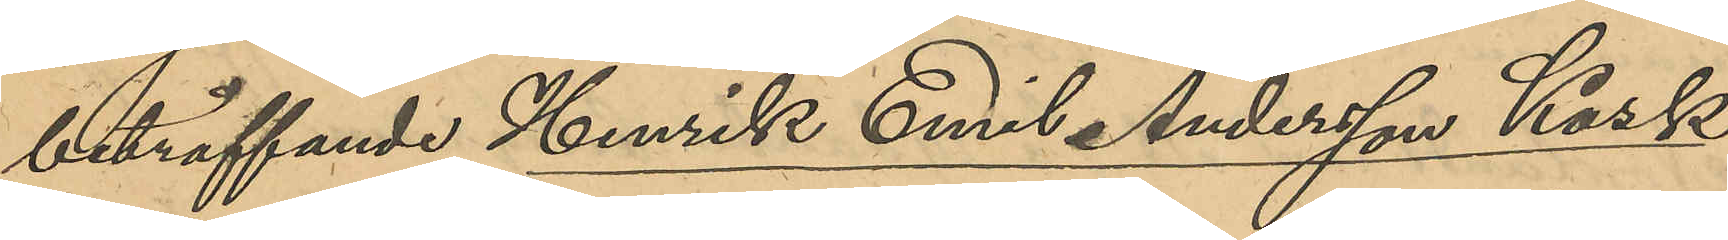beträffande Henrik Emil Andersson Kask:
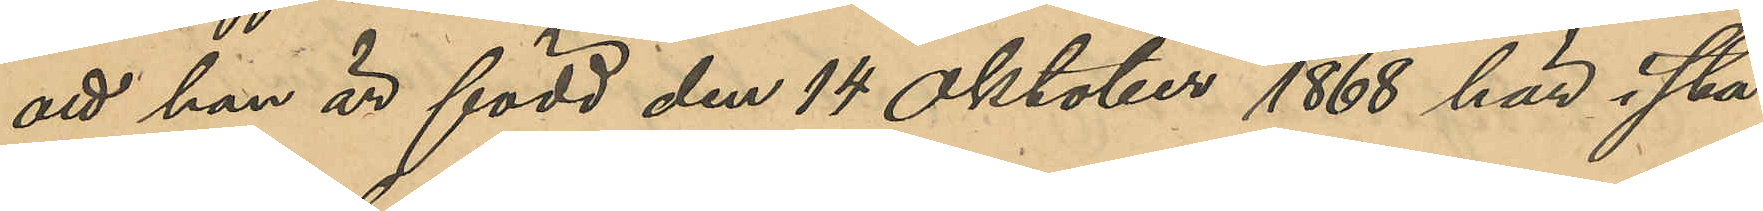att han är född den 14 Oktober 1868 här i sta¬
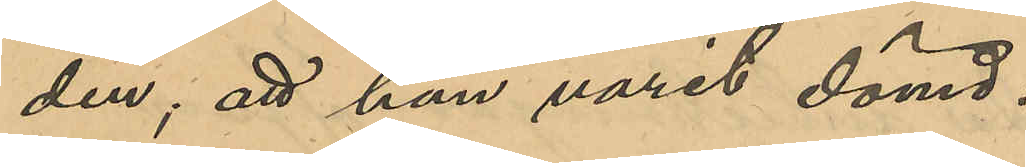den; att han varit dömd:
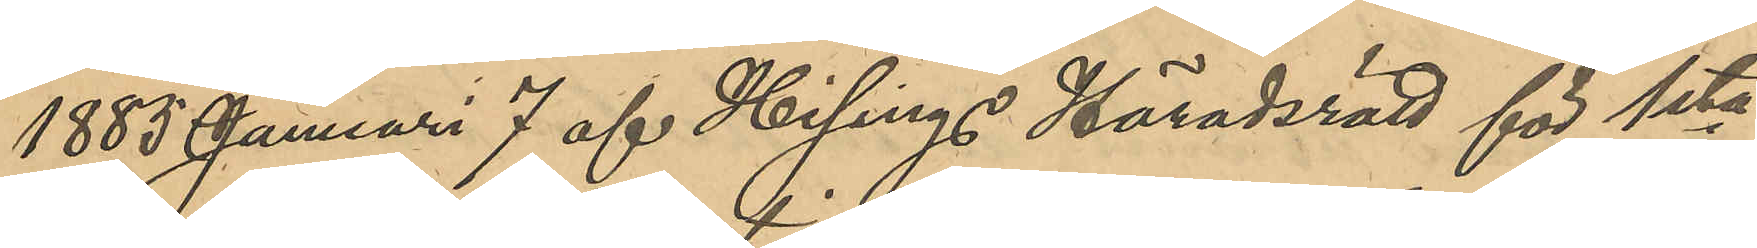1885 Januari 7 af Hisings Häradsrätt för 1sta
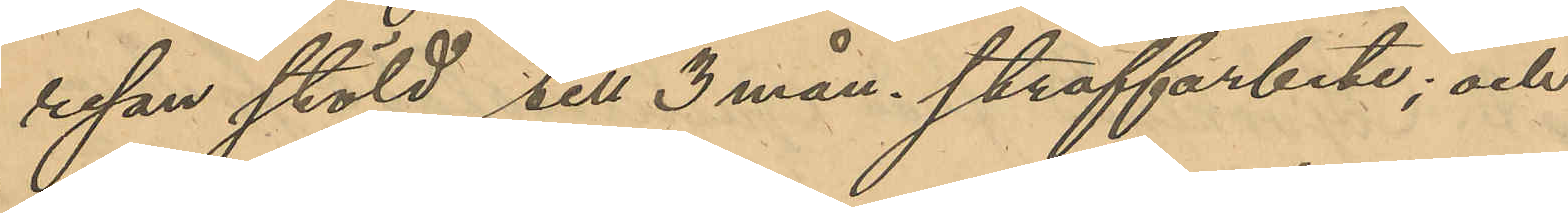resan stöld till 3 mån. straffarbete; och
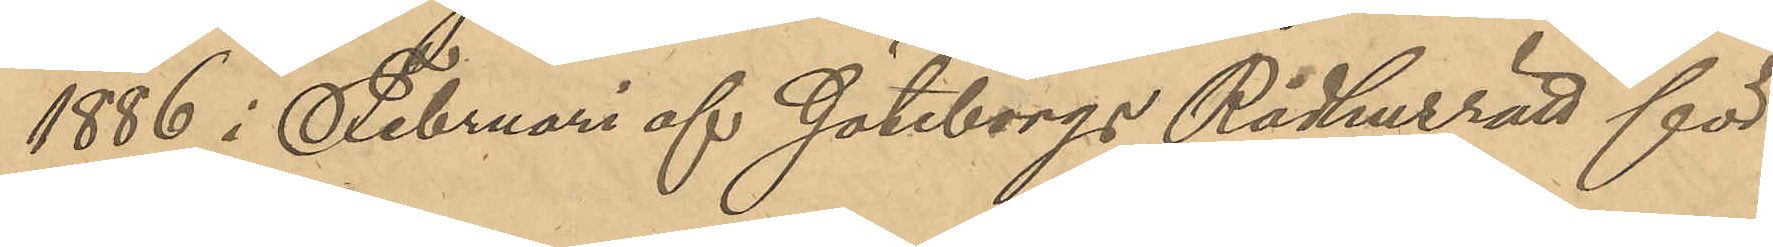1886 i Februari af Göteborgs Rådhusrätt för
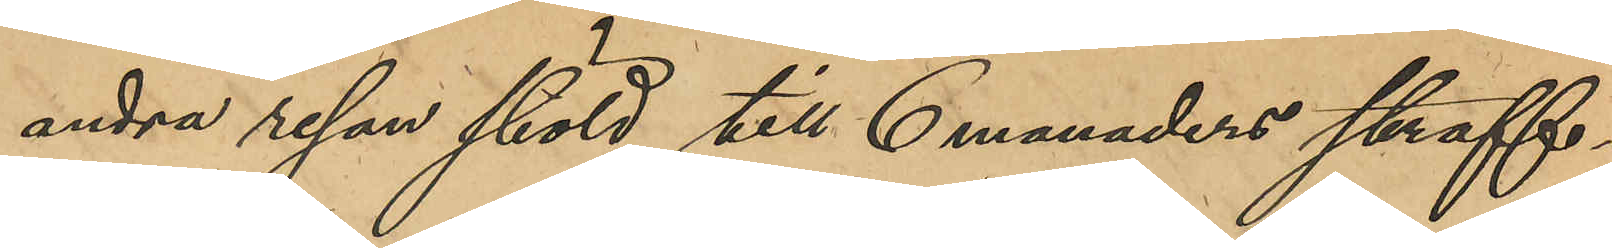andra resan stöld till 6 månaders straff¬
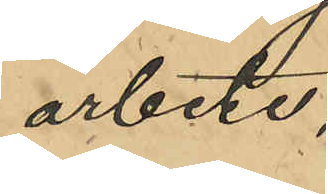arbete;
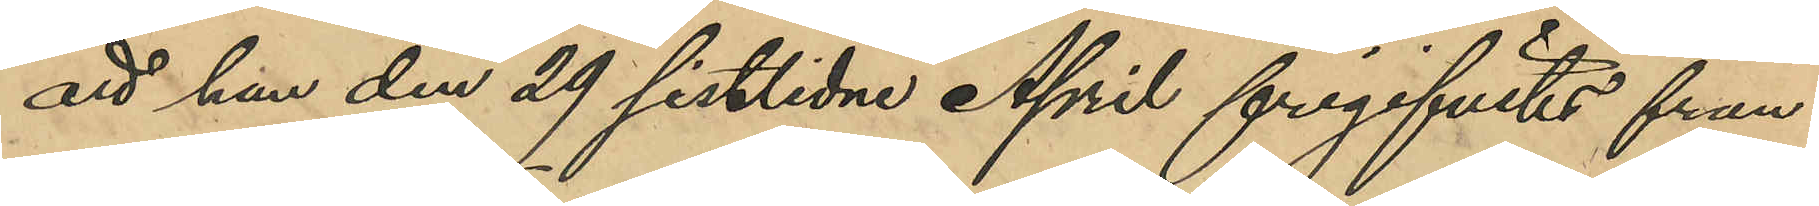att han den 29 sistlidne April frigifvits från
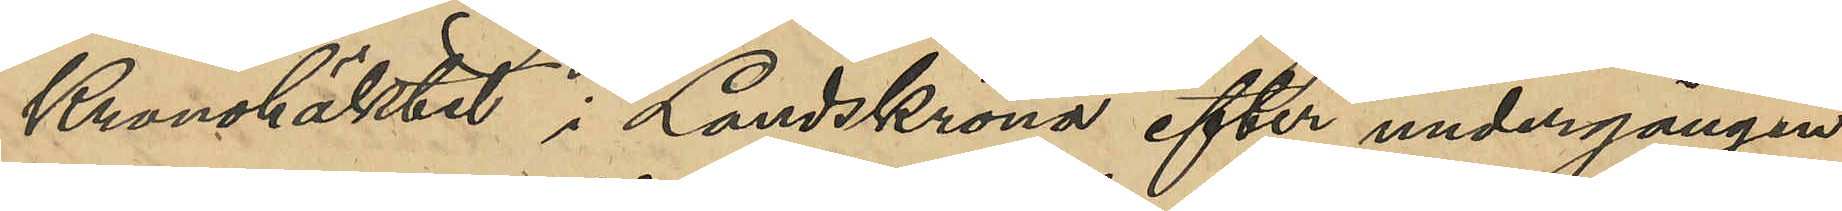Kronohäktet i Landskrona efter undergången
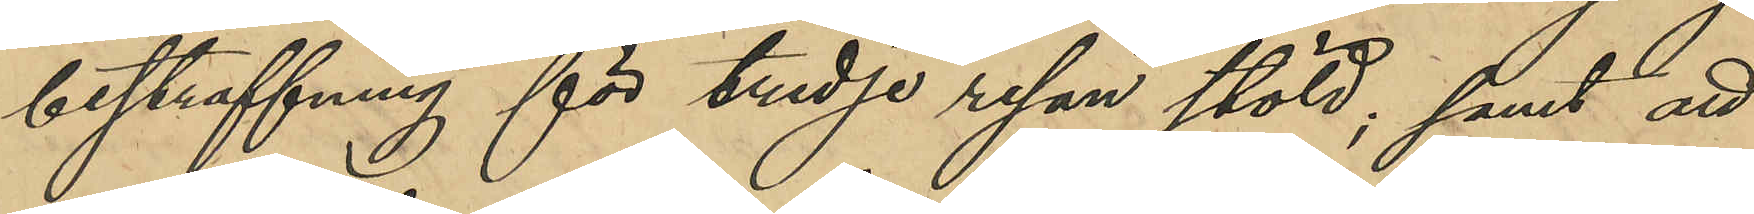bestraffning för tredje resan stöld; samt att
